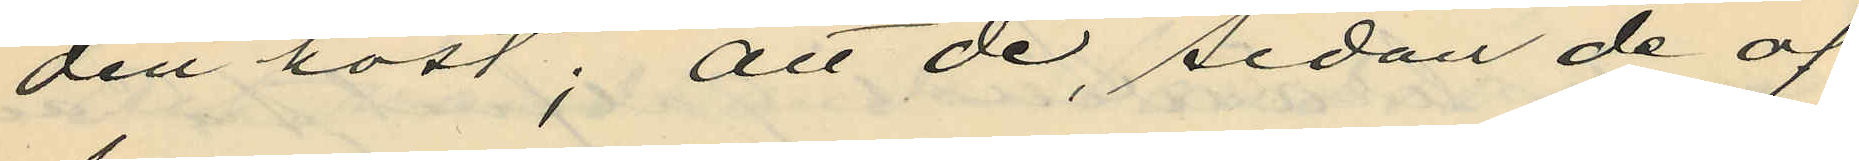den höst; att de, sedan de af
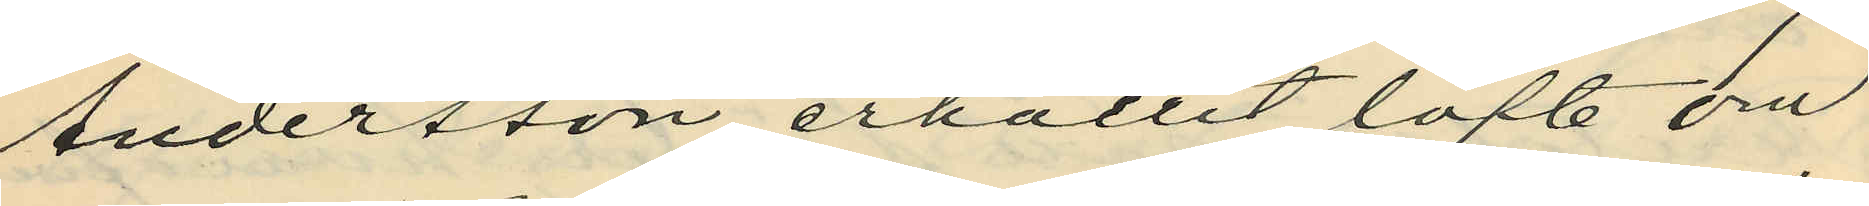Andersson erhållit löfte om
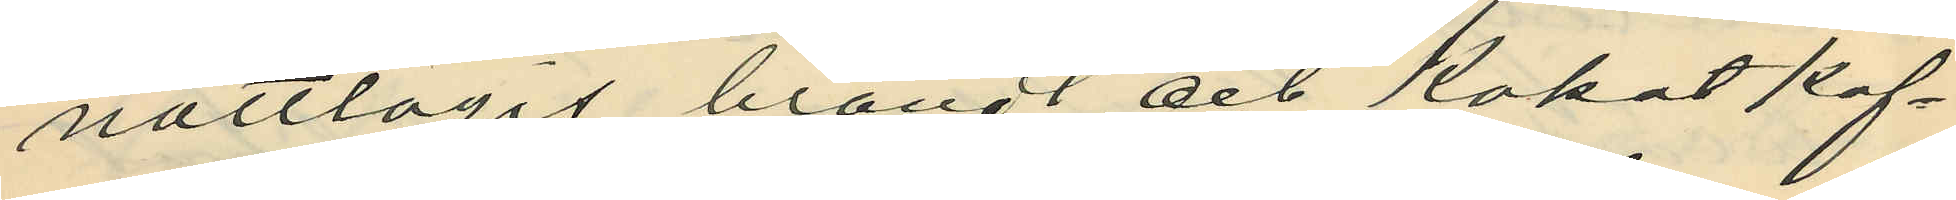nattlogis, brändt och kokat kaf¬
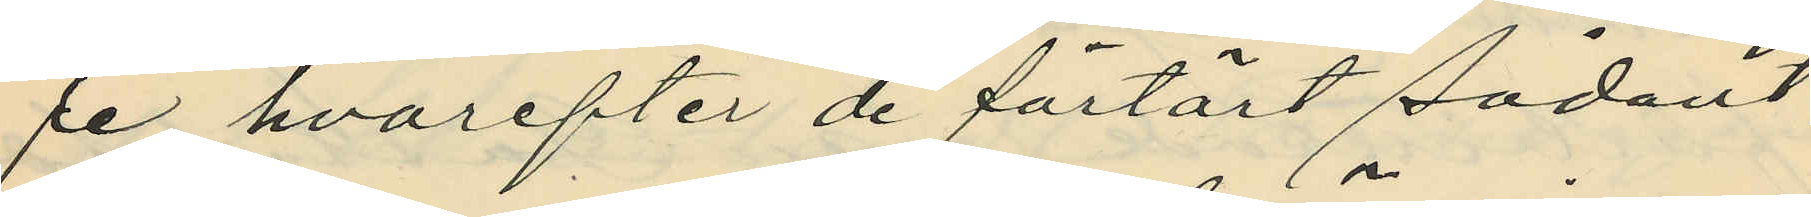fe, hvarefter de förtärt sådant
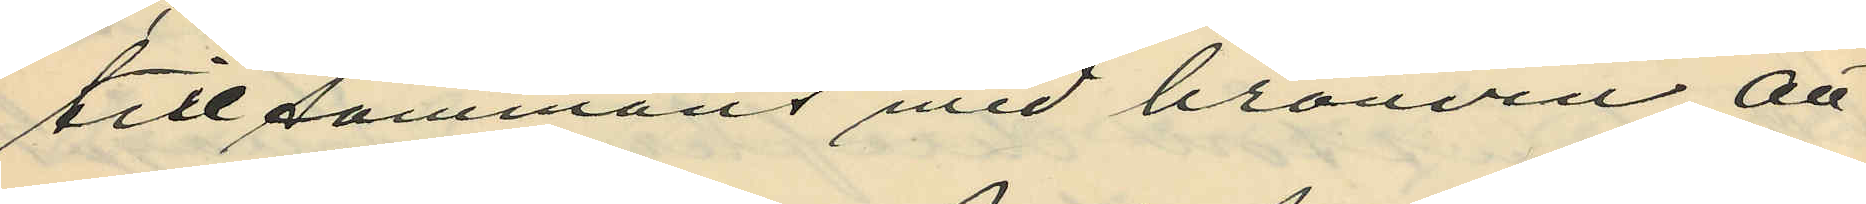tillsammans med bränvin, att
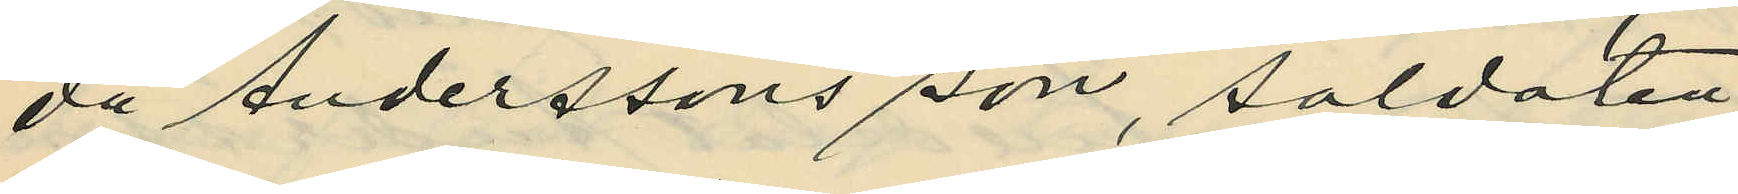då Anderssons son, soldaten
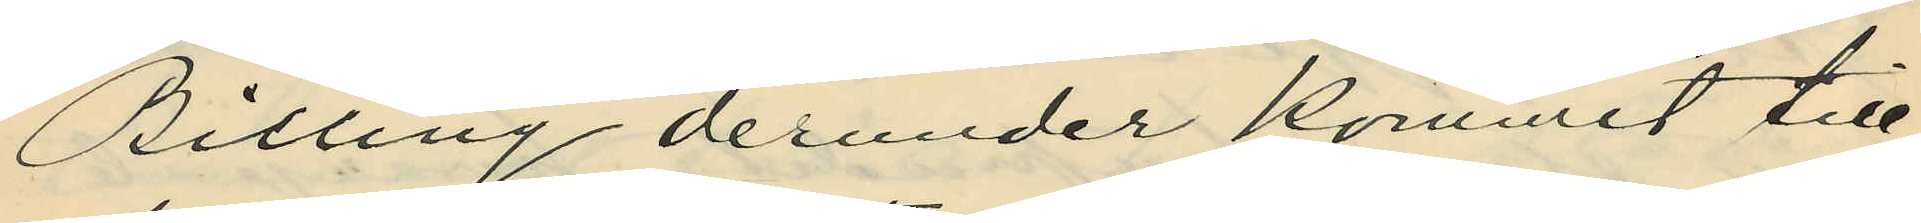Billing derunder kommit till
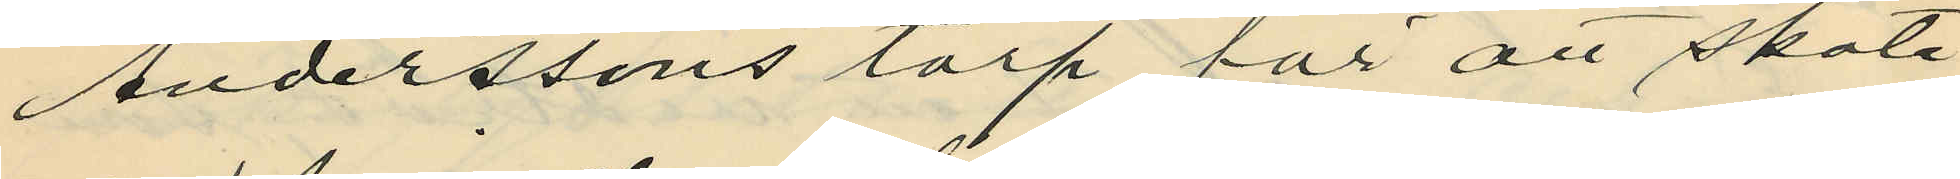Anderssons torp för att sköta
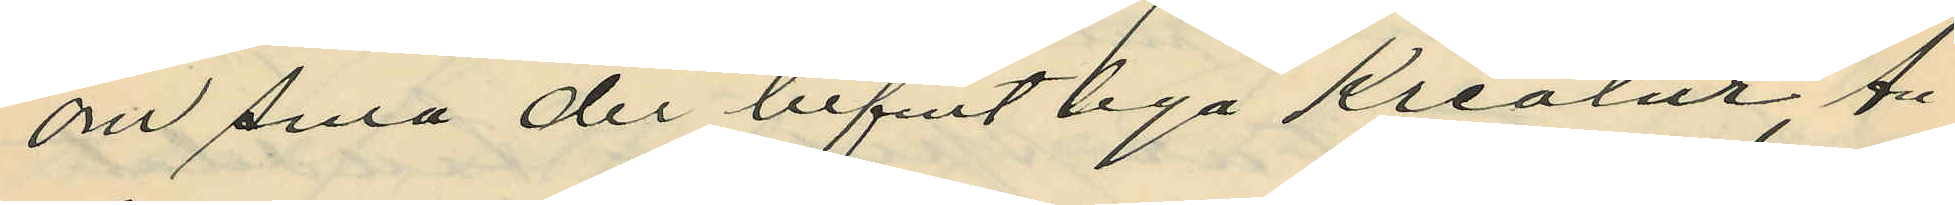om sina der befintliga Kreatur, An¬
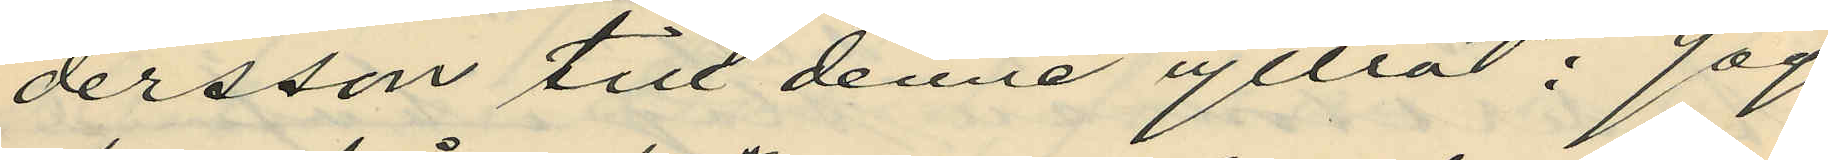dersson till denne yttrat: "Jag
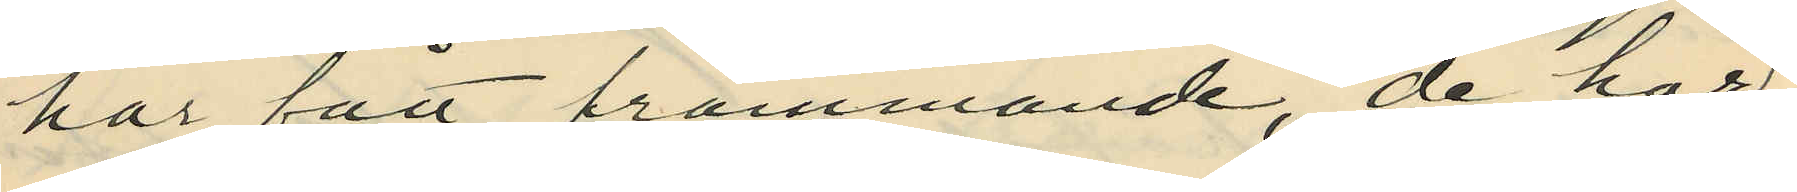har fått främmande, de har
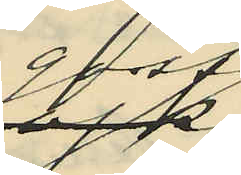goss¬
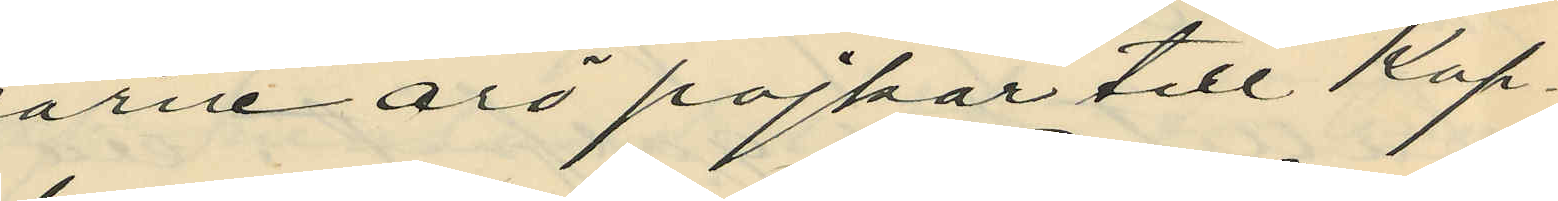arne äro pojkar till Kop¬
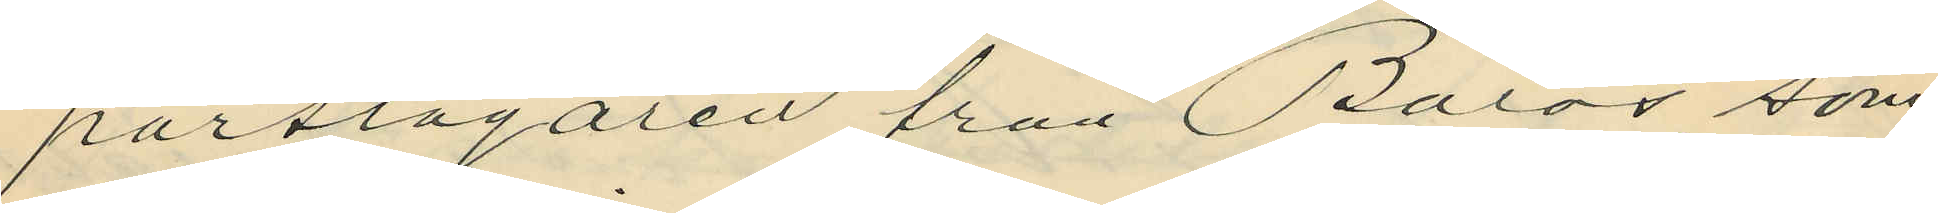parslagaren från Borås, som
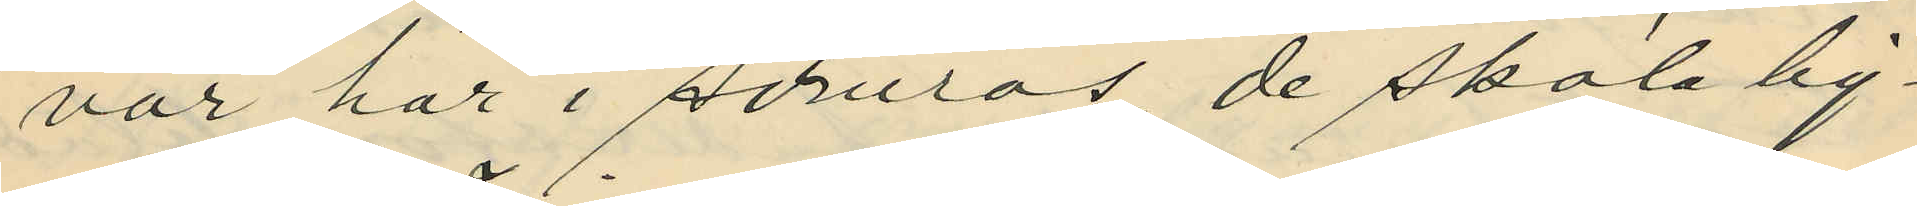var här i somras, de skola lig¬
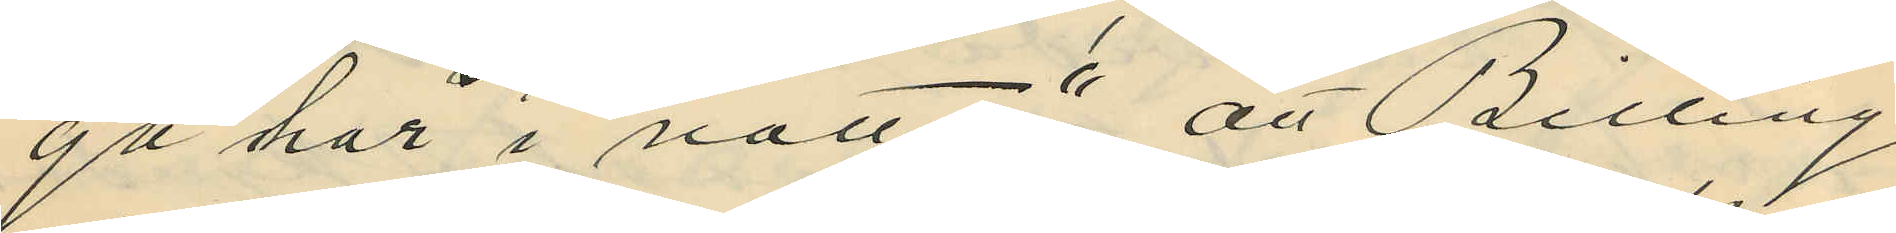ga här i natt"; att Billing,
